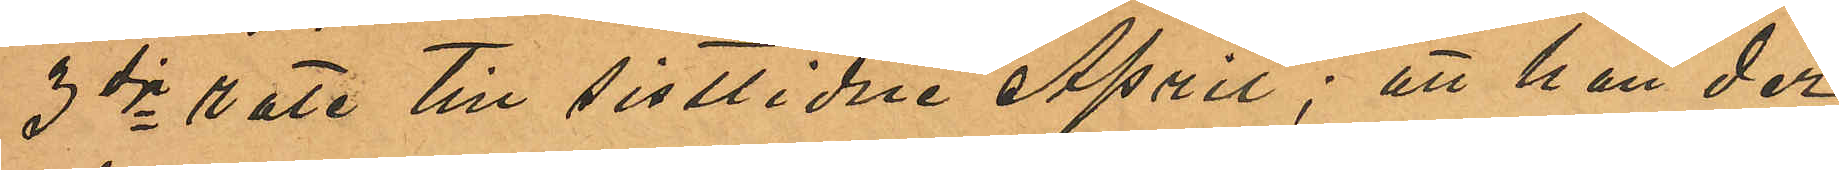3dje rote till sistlidne April; att han der
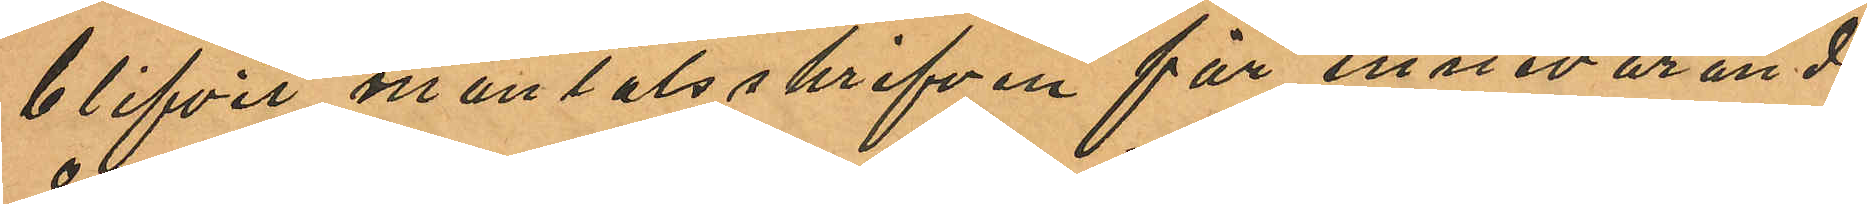blifvit mantalsskrifven för innevarande
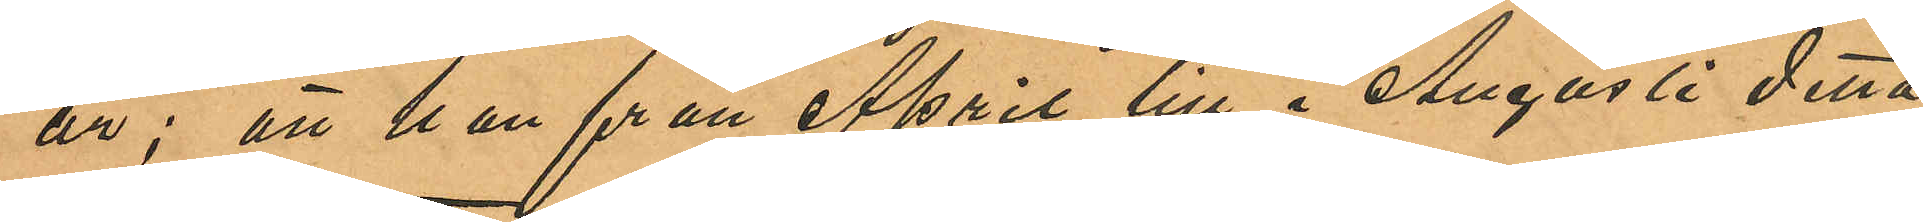år; att han från April till i Augusti detta
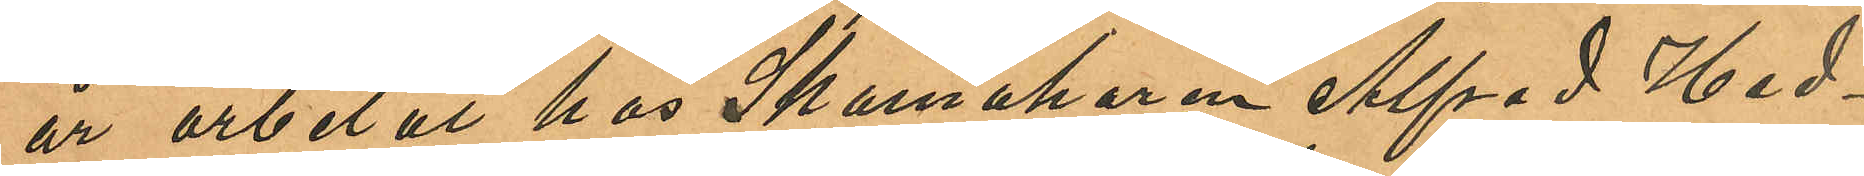år arbetat hos Skomakaren Alfrad Hed¬
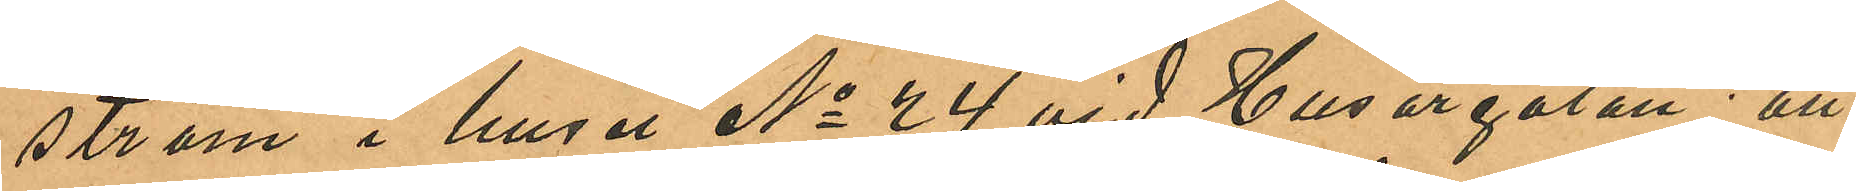ström i huset No 24 vid Husargatan; att
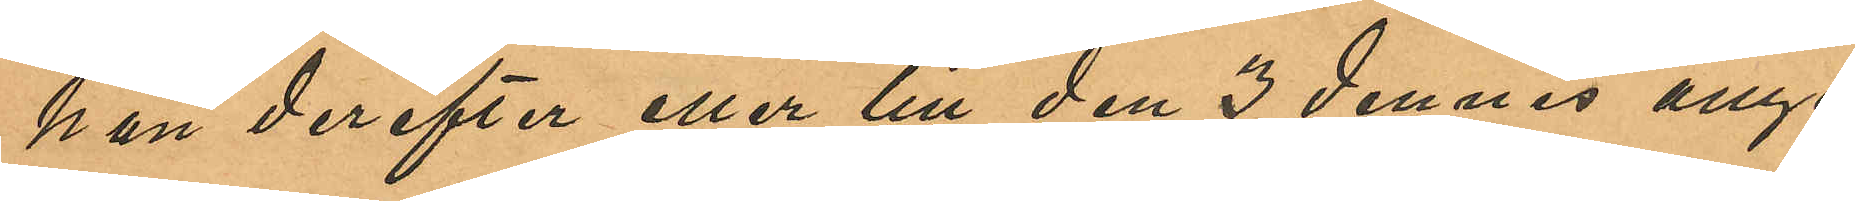han derefter eller till den 3 dennes ånyo
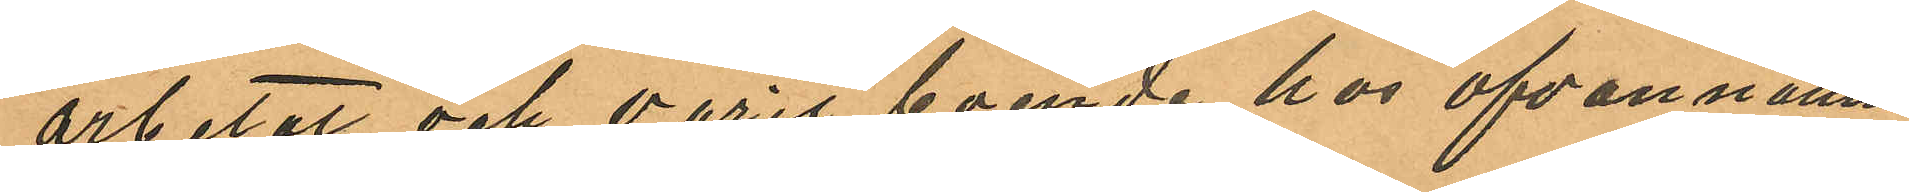arbetat och varit boende hos ofvannämn¬
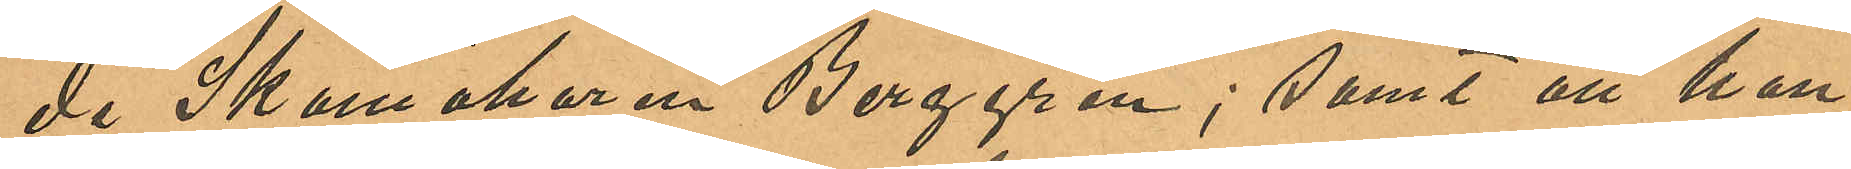de Skomakaren Berggren; samt att han
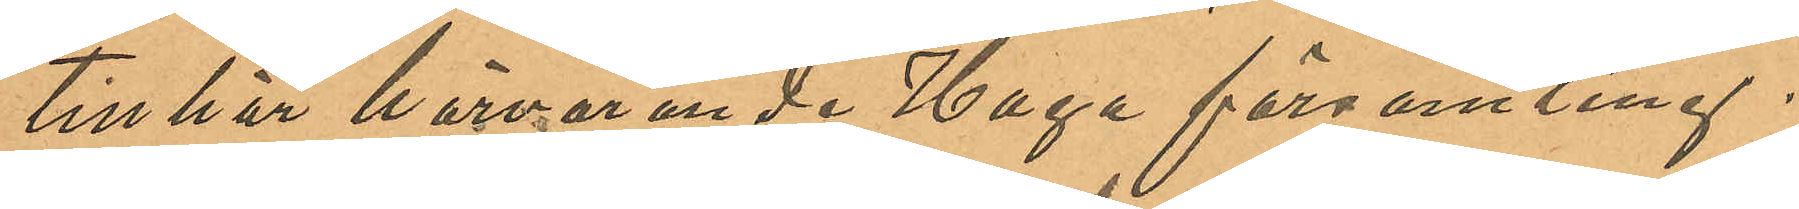tillhör härvarande Haga församling.
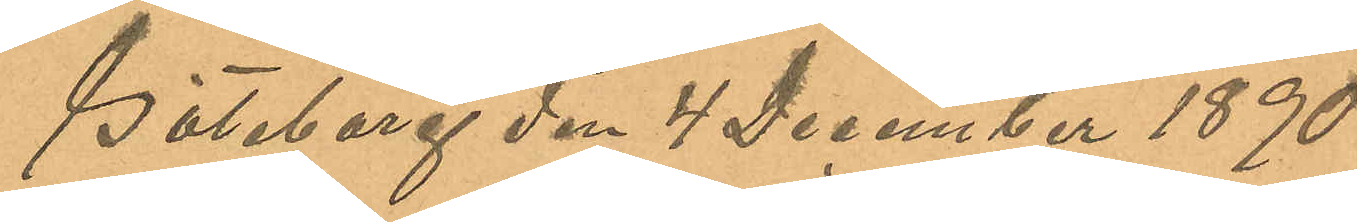Göteborg den 4 December 1890.
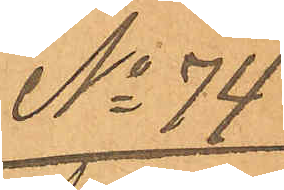No 74
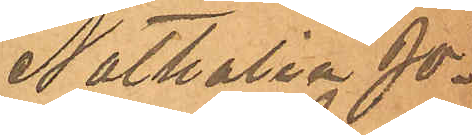Nathalia Jo¬
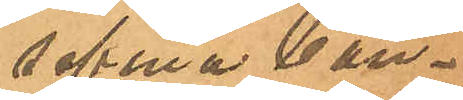sefina Con¬
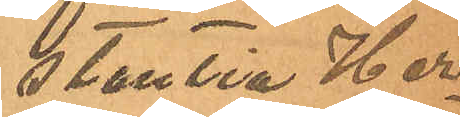stantia Her¬
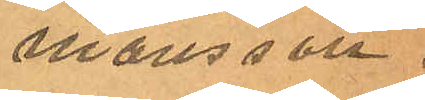mansson.
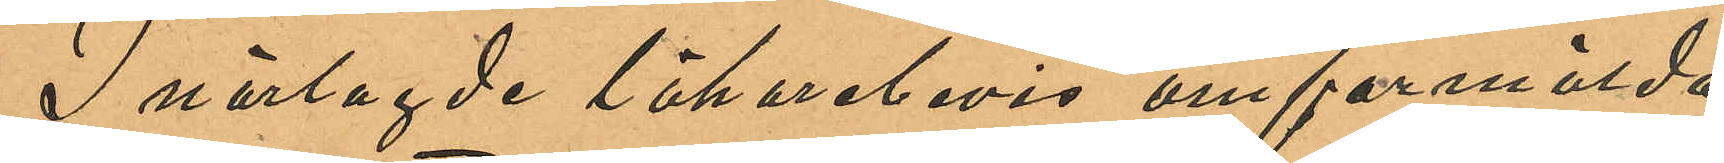I närlagde läkarebevis omförmälda
